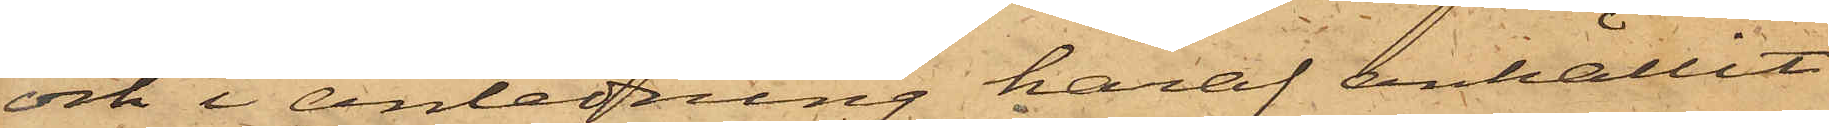och i anledning häraf anhållit
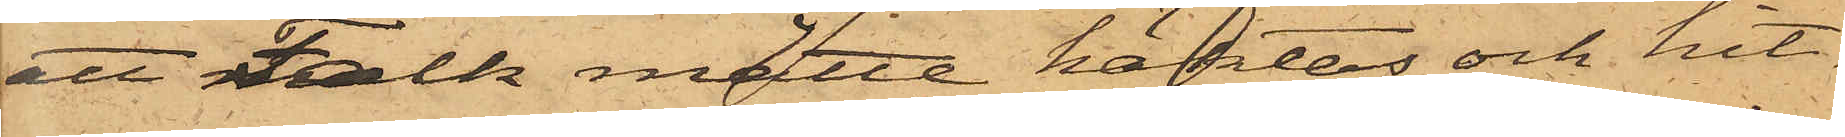att Falk måtte häktas och hit¬
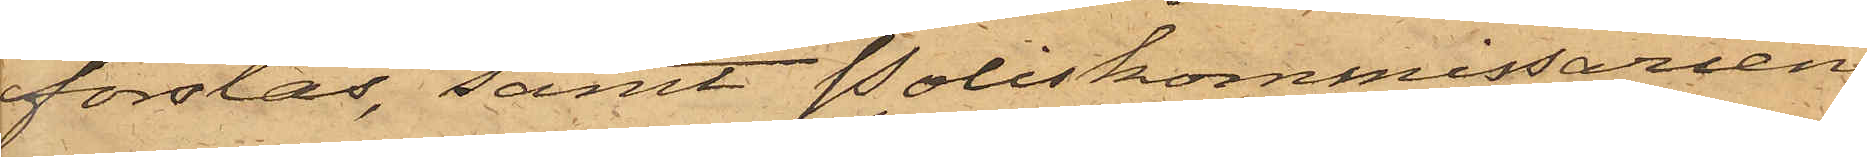forslas, samt Poliskommissarien
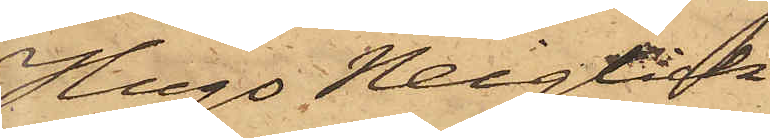Hugo Neiglick
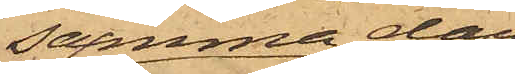samma dag
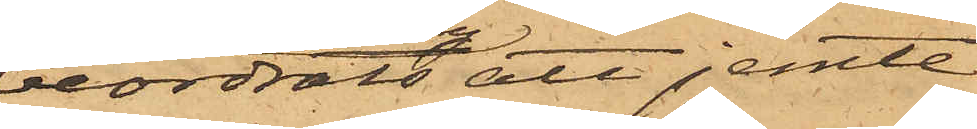beordrats att jemte
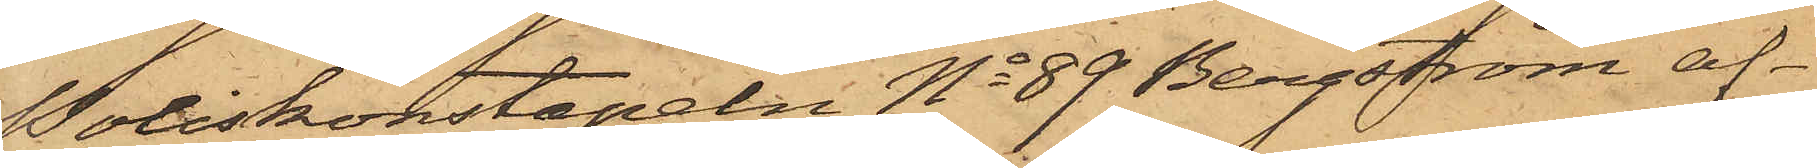Poliskonstapeln No 89 Bergström af¬
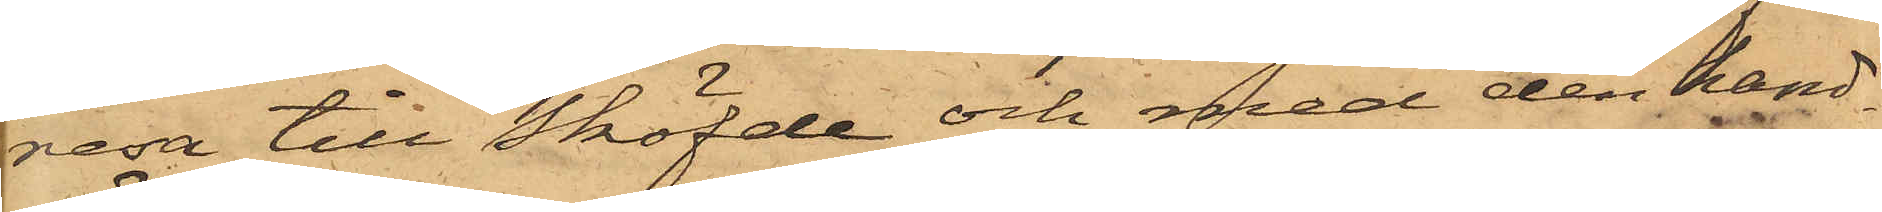resa till Sköfde och med den hand¬
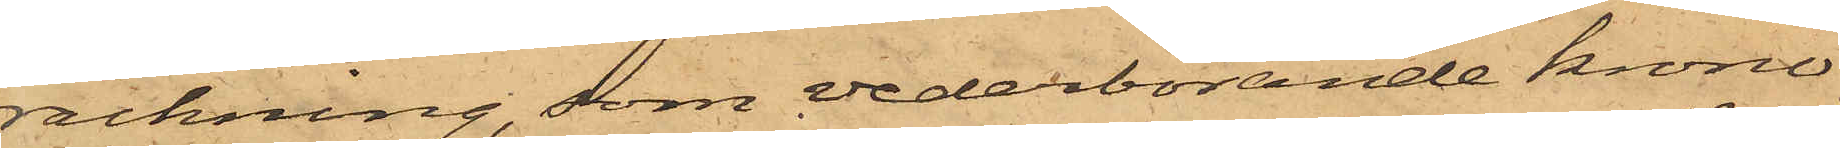räckning, som vederbörande krono¬
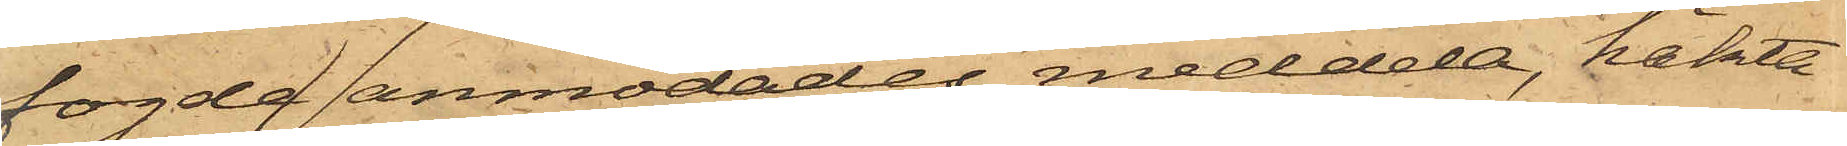fogde anmodades meddela, häkta
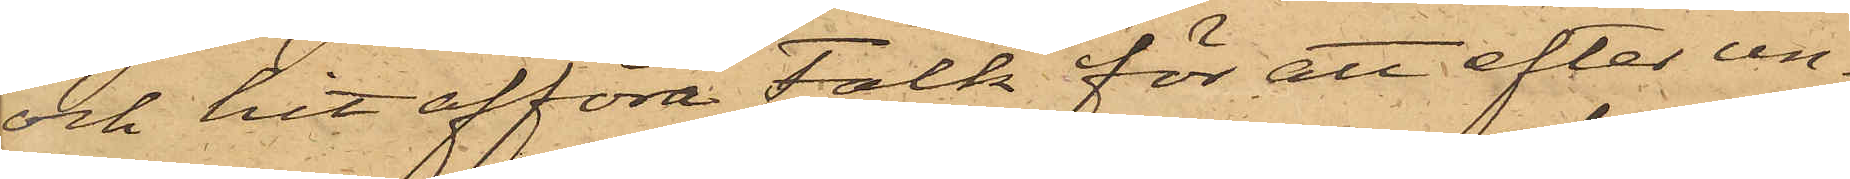och hit afföra Falk för att efter un¬
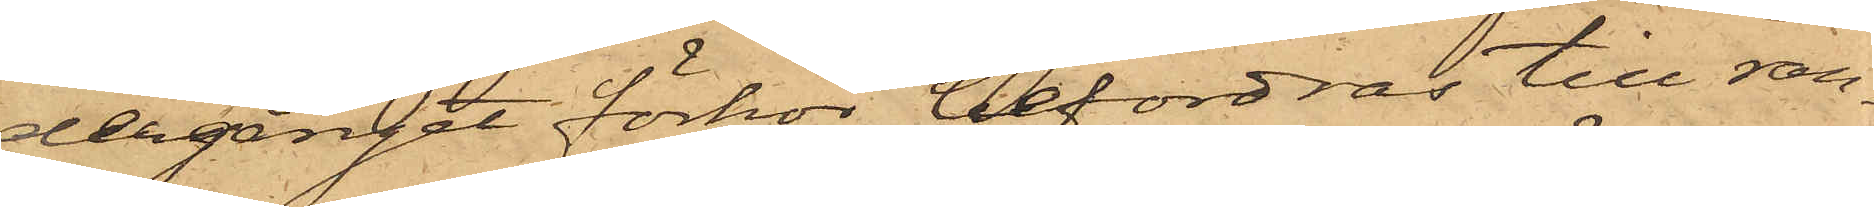dergånget förhör befordras till ran¬
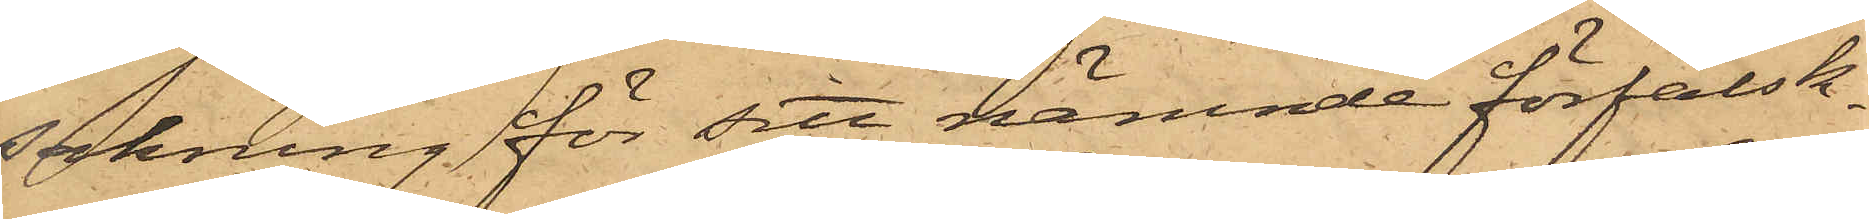sakning för sitt nämnde förfalsk¬
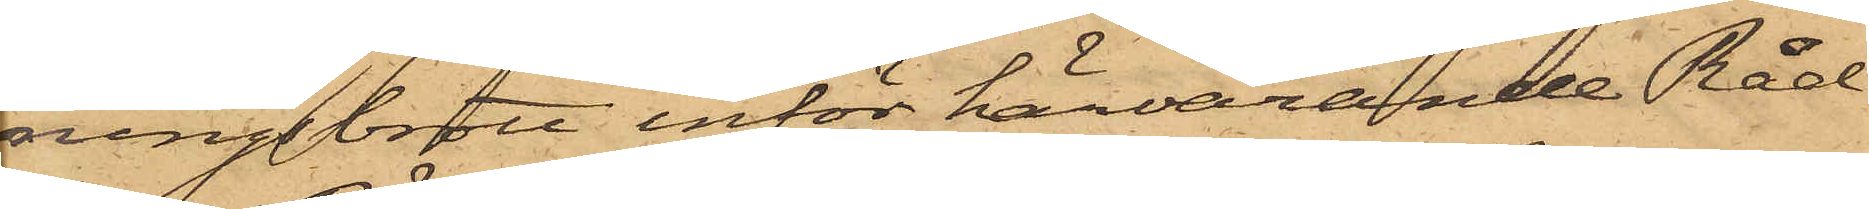ningsbrott inför härvarande Råd¬
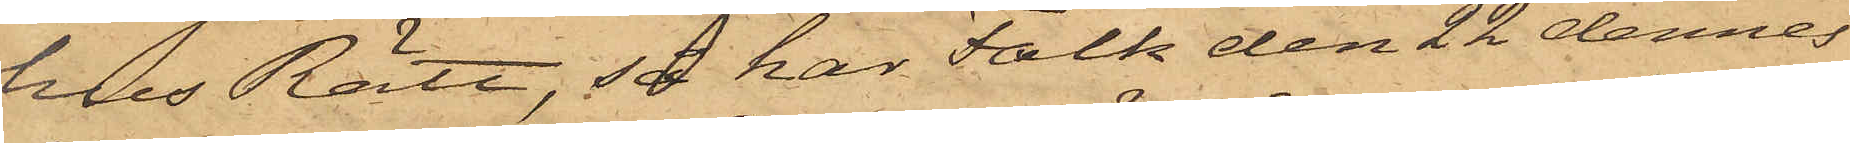hus Rätt, så har Falk den 22 dennes
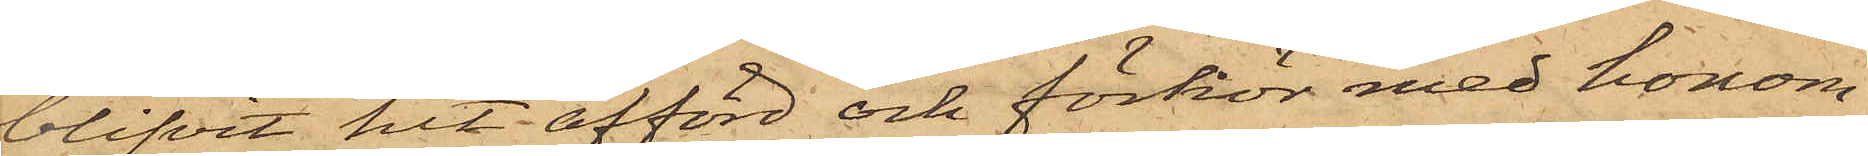blifvit hit afförd och förhör med honom
